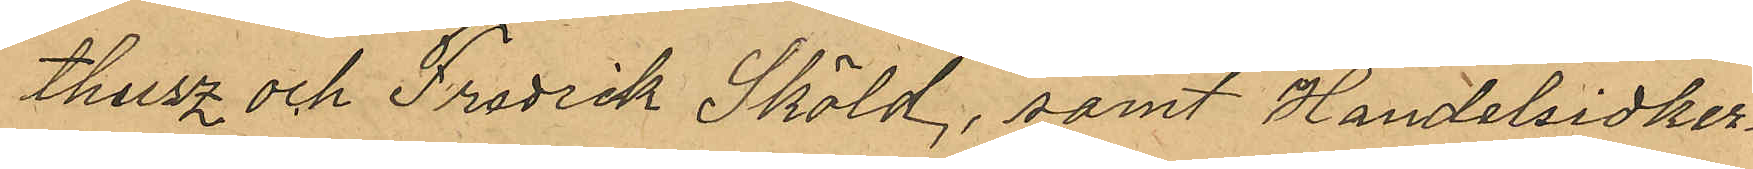theisz och Fredrik Sköld, samt Handelsidker¬
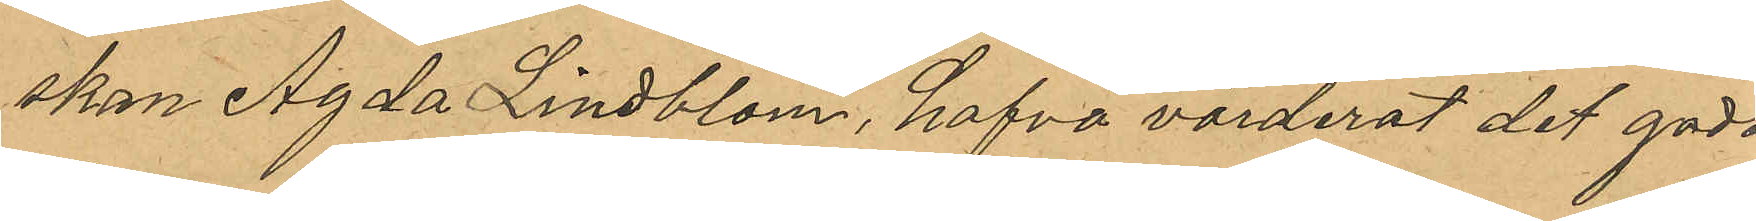skan Agda Lindblom, hafva värderat det gods
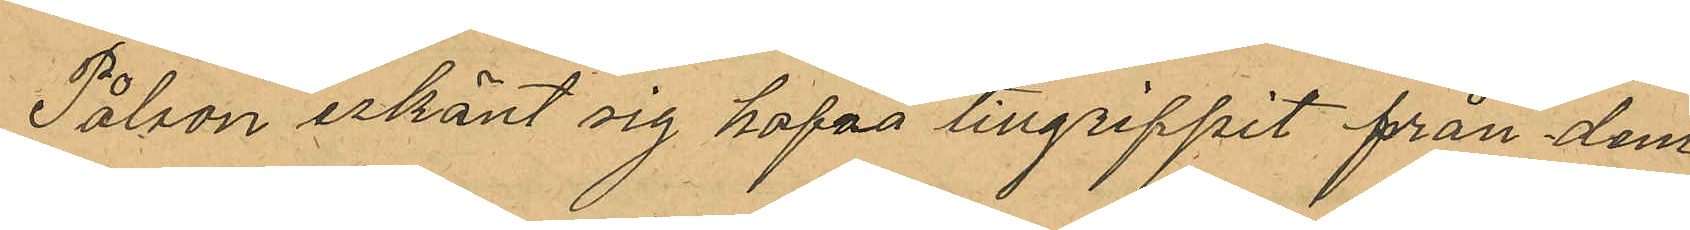Pålsson erkänt sig hafva tillgripit från dem.
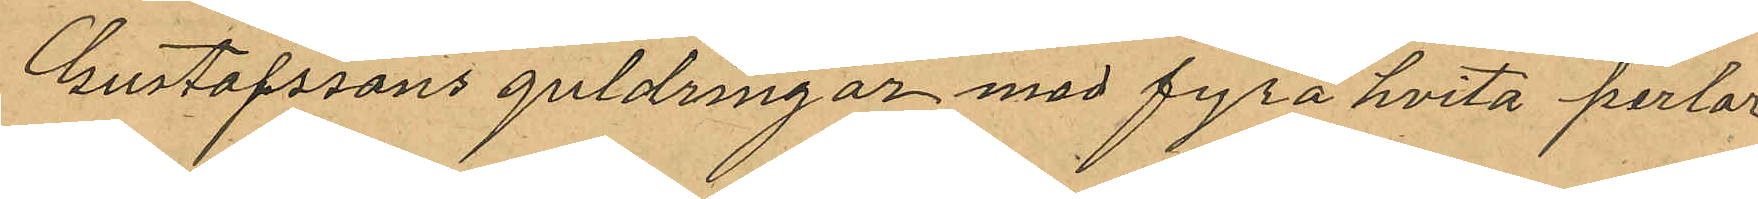Gustafssons guldring med fyra hvita perlor
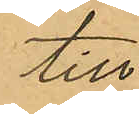till
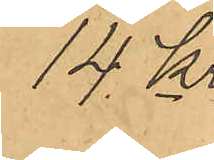14 Kr
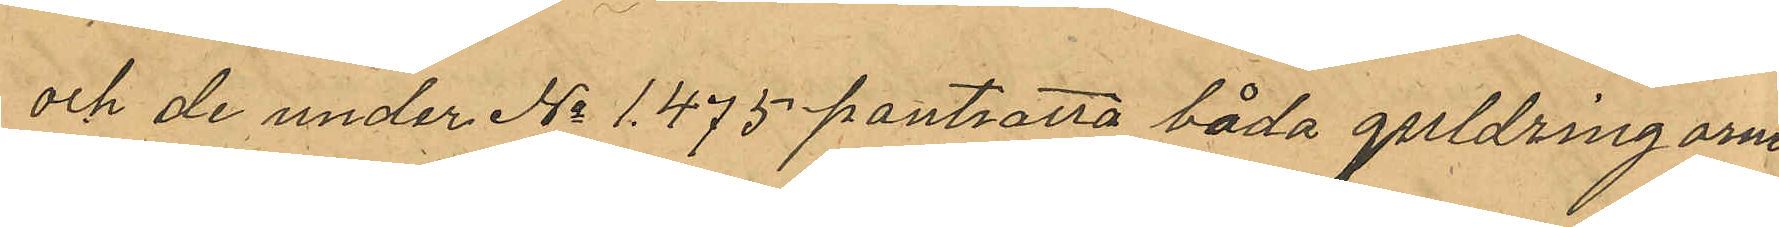och de under No 1.475 pantsatta båda guldringarne
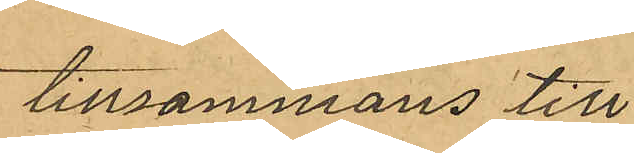tillsammans till
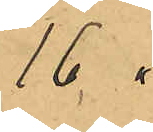16 "
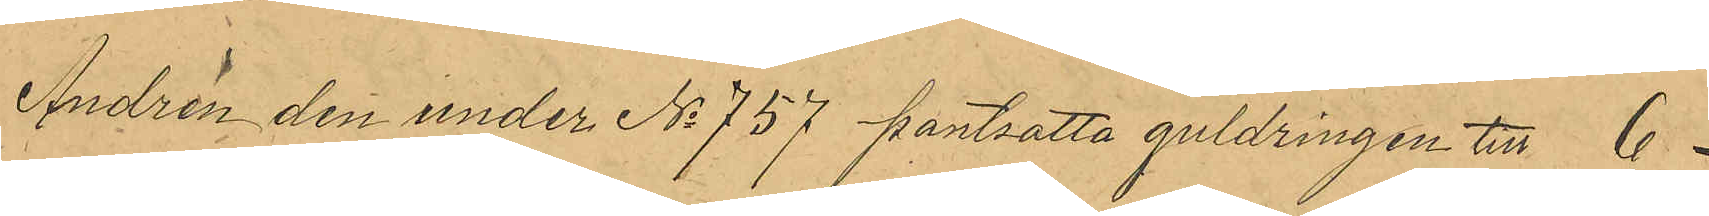Andrén den under No 757 pantsatta guldringen till 6 "
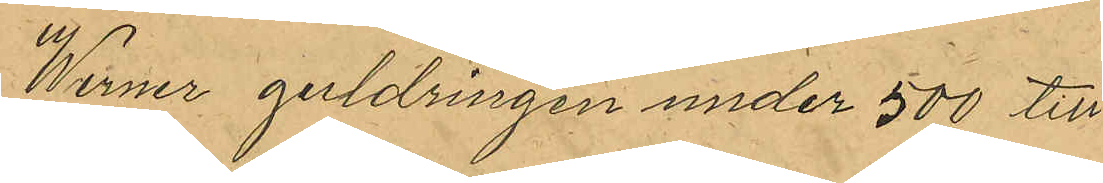Werner guldringen under 500 till
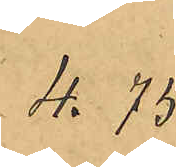4.75
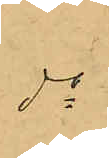do
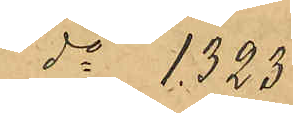do 1.323
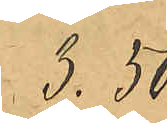3.50
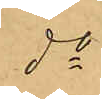do
